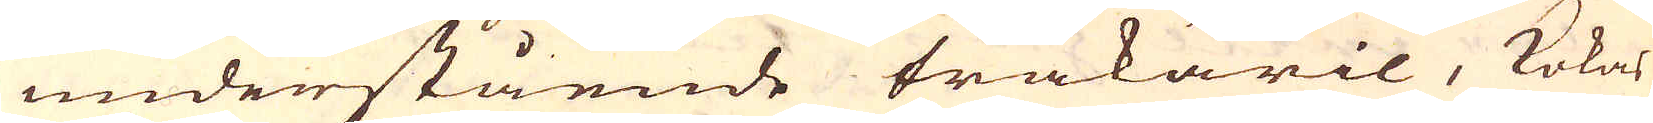undenstående träkäril, kokas
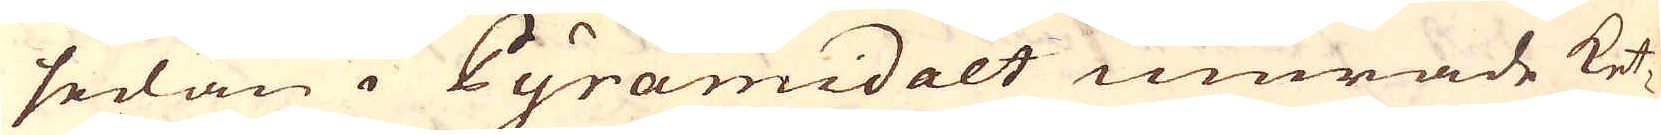sedan i Pyramidalt murade ket-
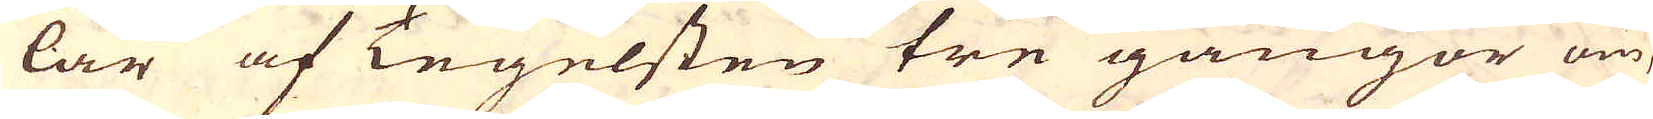lar af Tegelsten tre gångor om
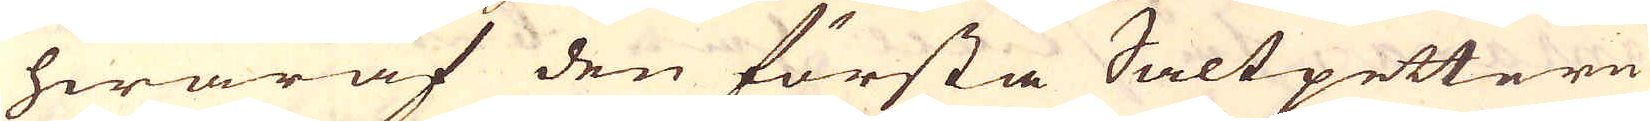hwaraf den första Saltpettern
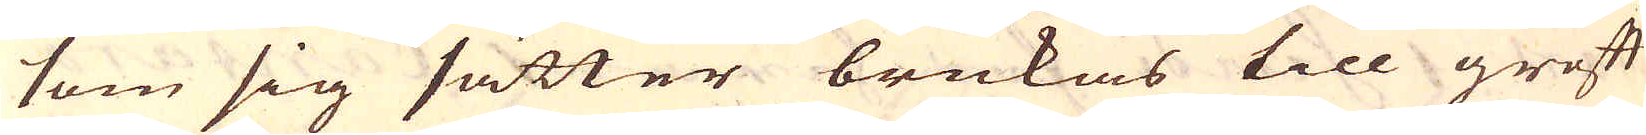som sig sätter brukas till groft
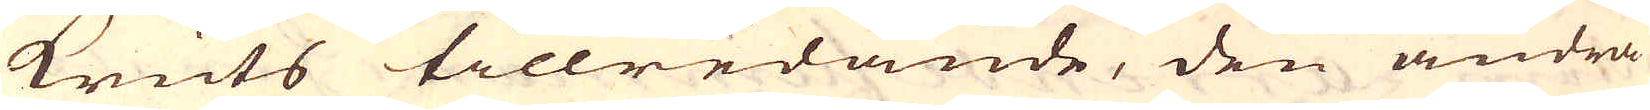kruts tillredande, den andra
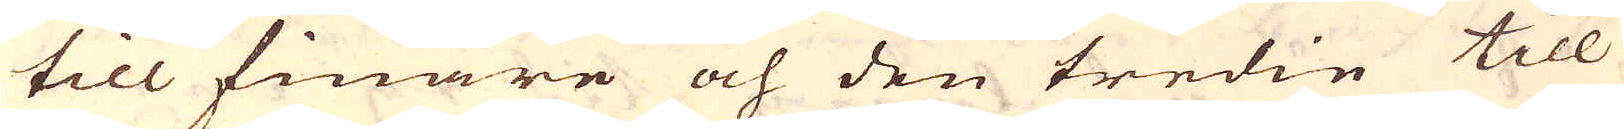till finare och den tredie till
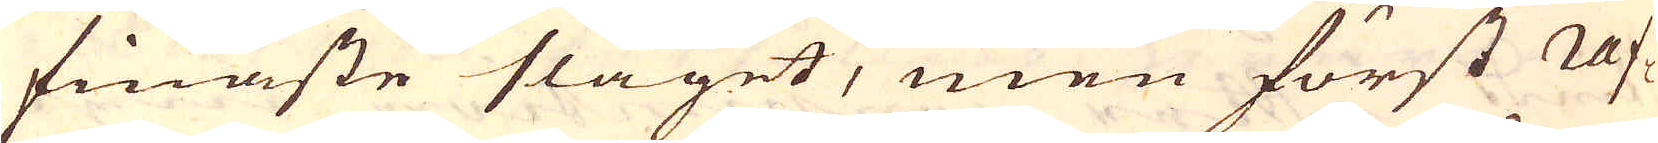finaste slaget, men först raf-
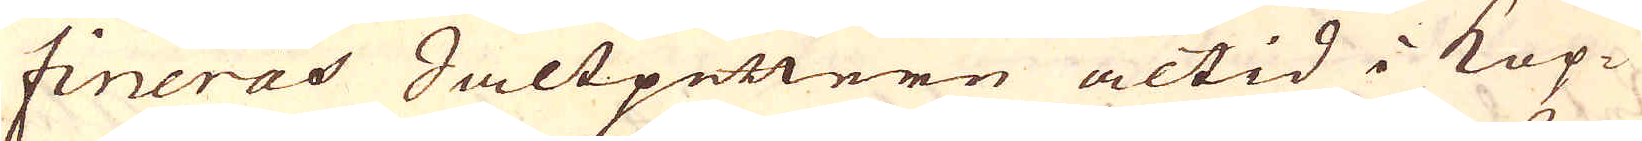fineras Saltpettern altid i Kop-
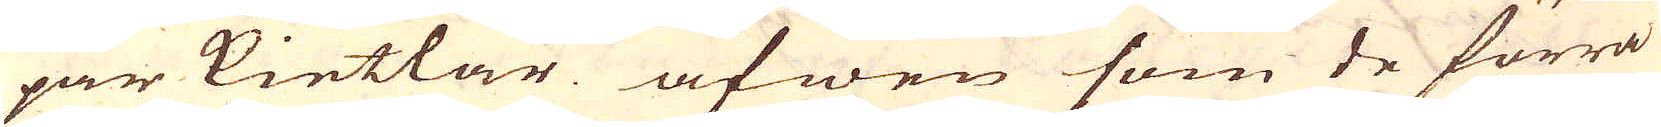par kiettar äfwen som de förra
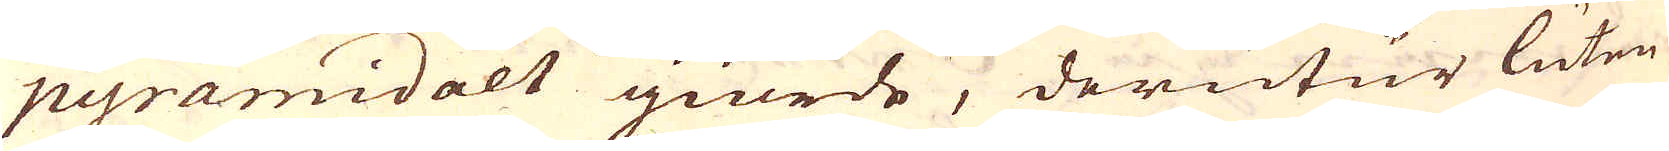pyramidalt giorde, derutur luten
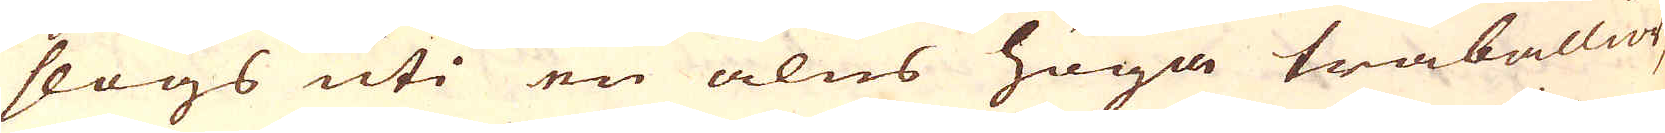slogs uti en alns höga tråballior,
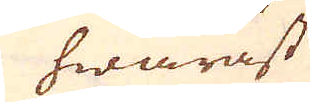hwaräst
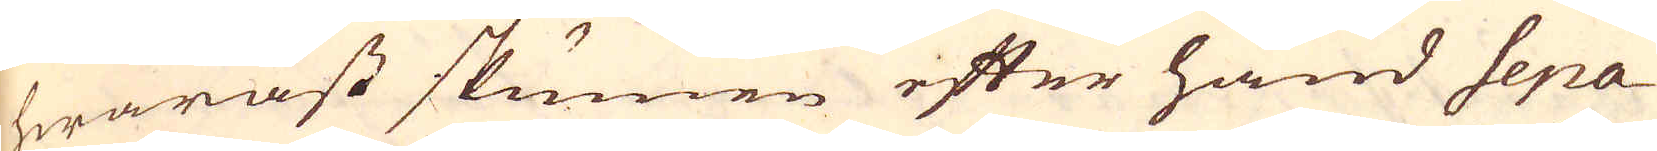hwaräst skunnen efter hand sepa-
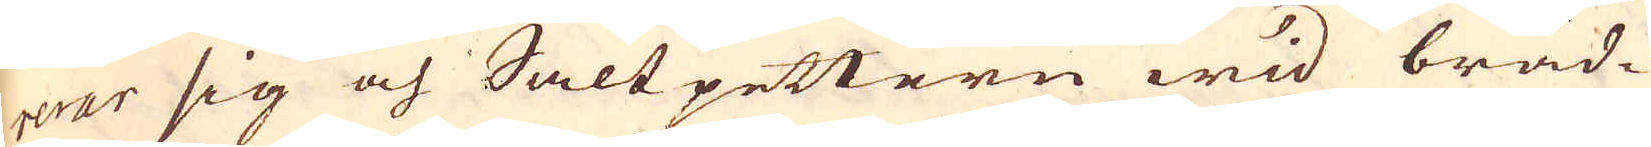rerar sig och Saltpettern wid bräd-
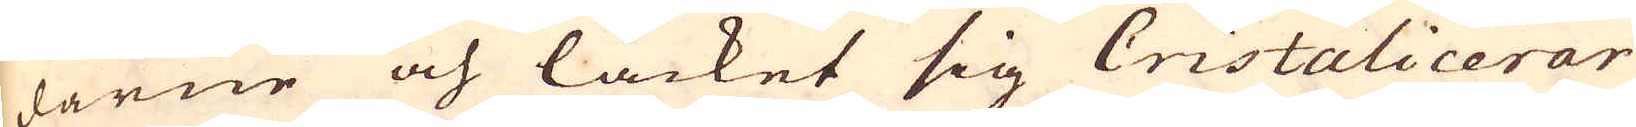darne och låcket sig Cristalicerar
